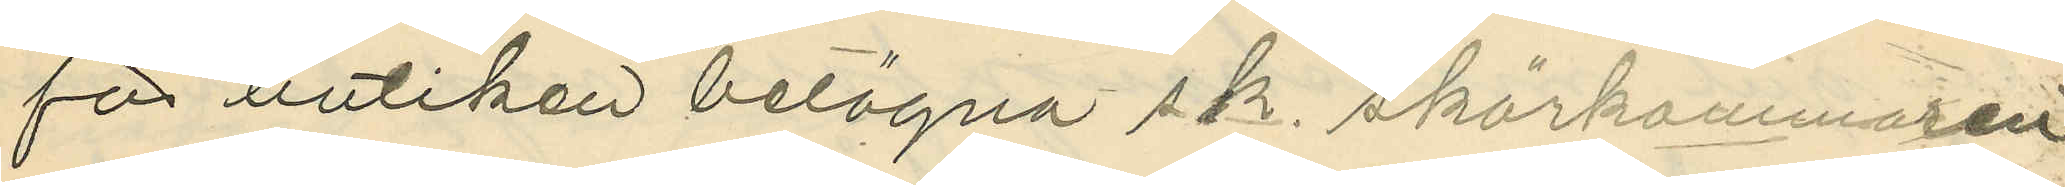för butiken belägna s.k. skärkammaren
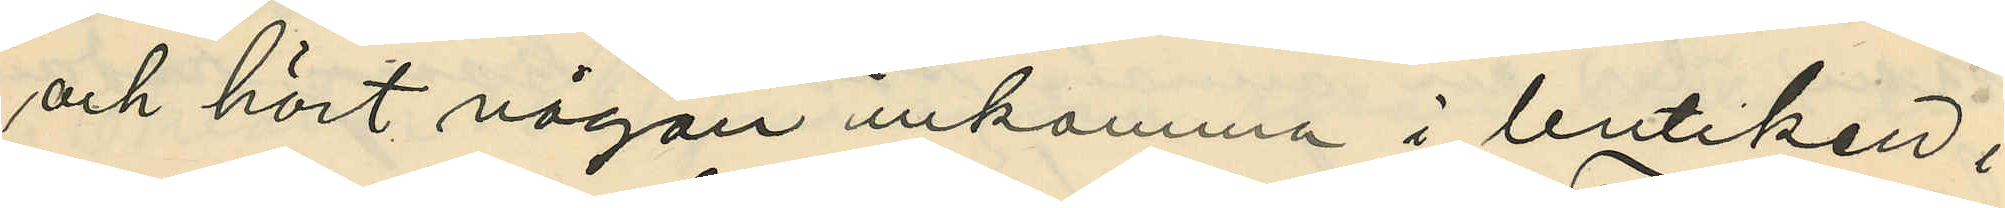och hört någon inkomma i butiken i
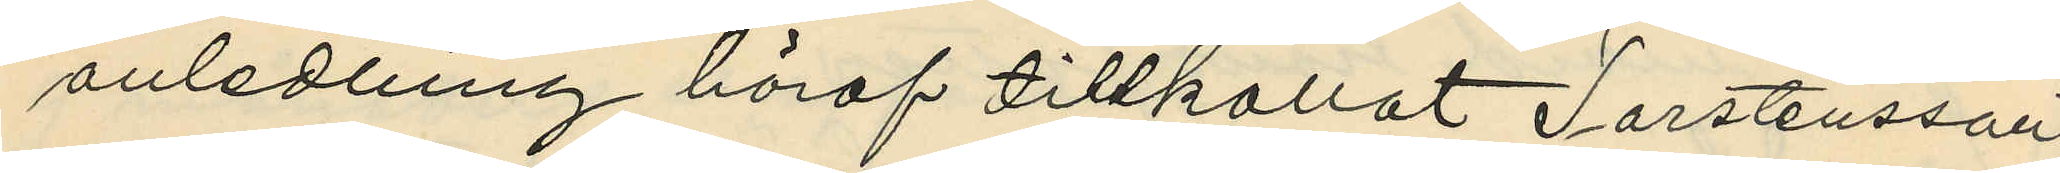anledning häraf tillkallat Torstensson,
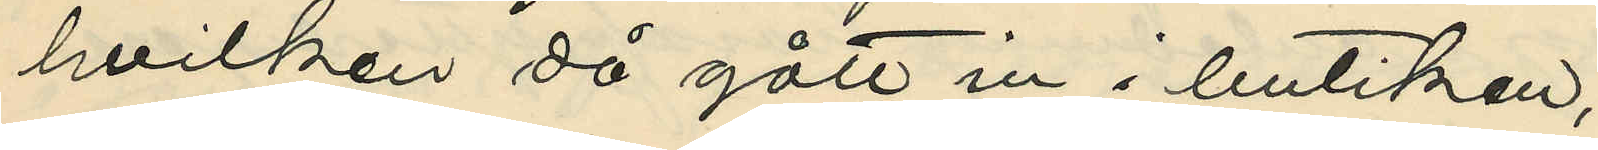hvilken då gått in i butiken;
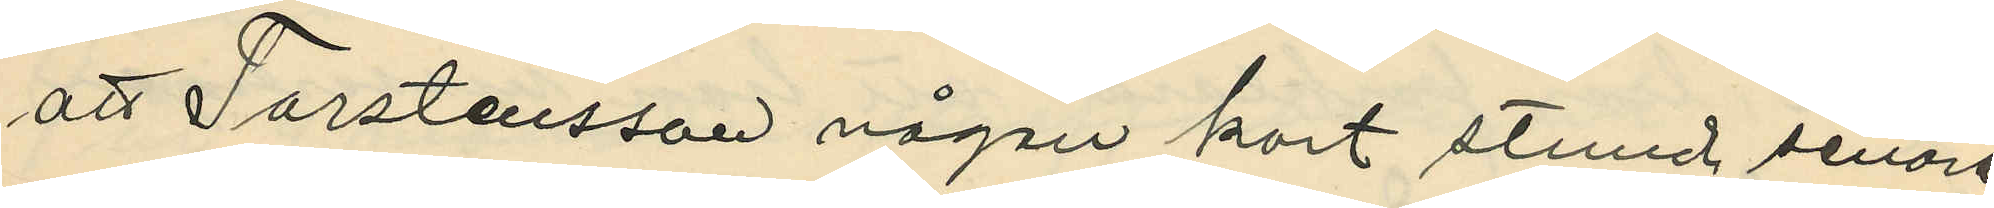att Torstensson någon kort stund senare
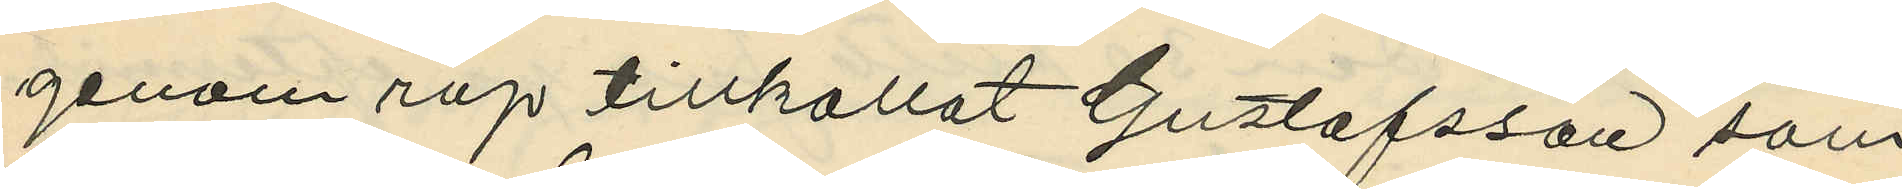genom rop tillkallat Gustafsson som
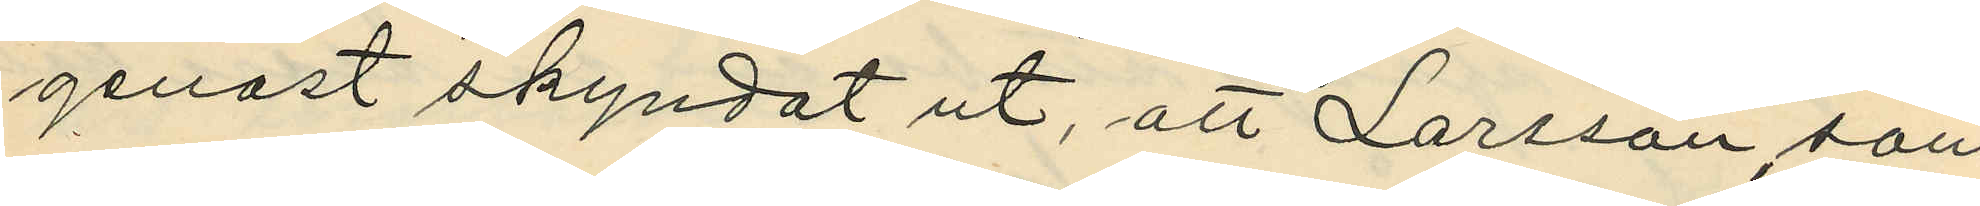genast skyndat ut, att Larsson, som
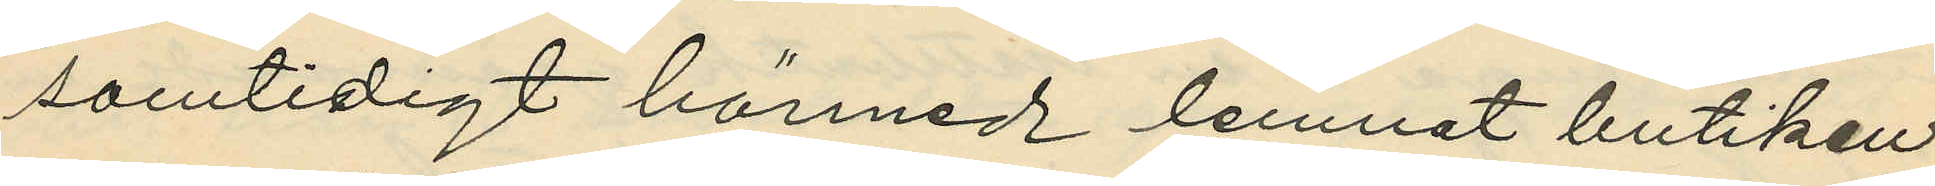samtidigt härmed lemnat butiken,
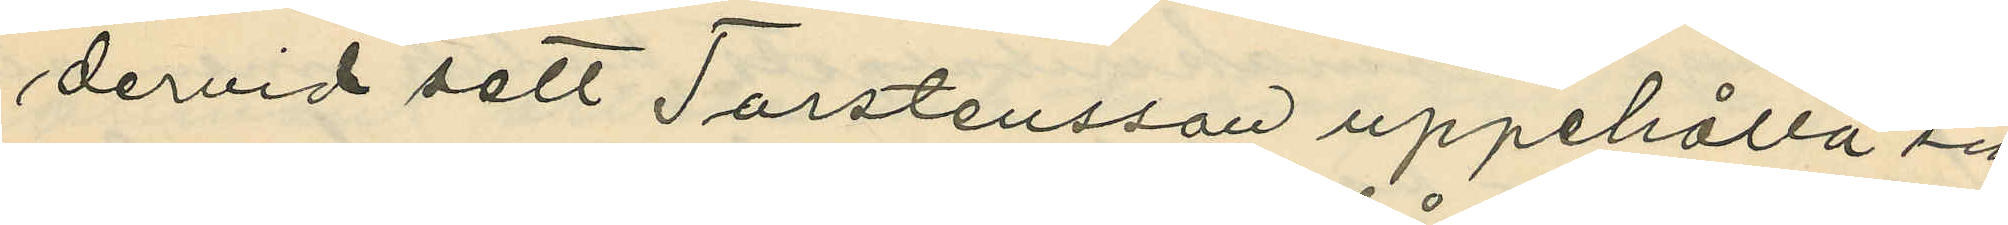dervid sett Torstensson uppehålla sig
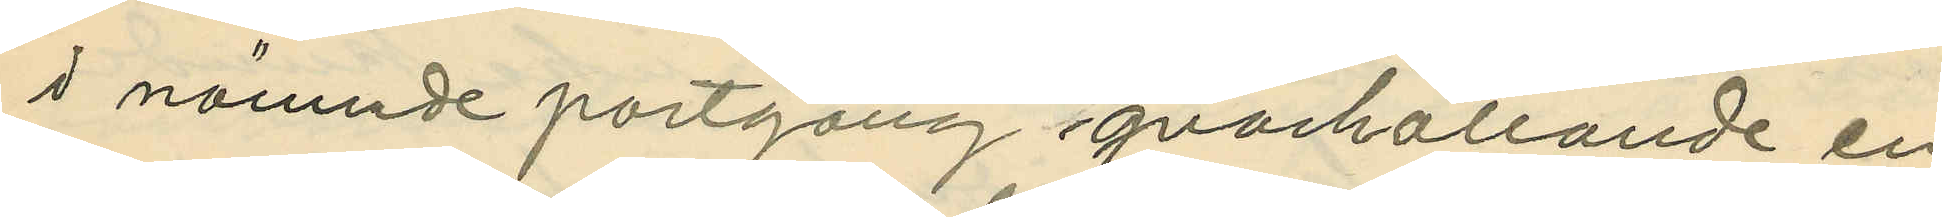i nämnde portgång qvarhållande en
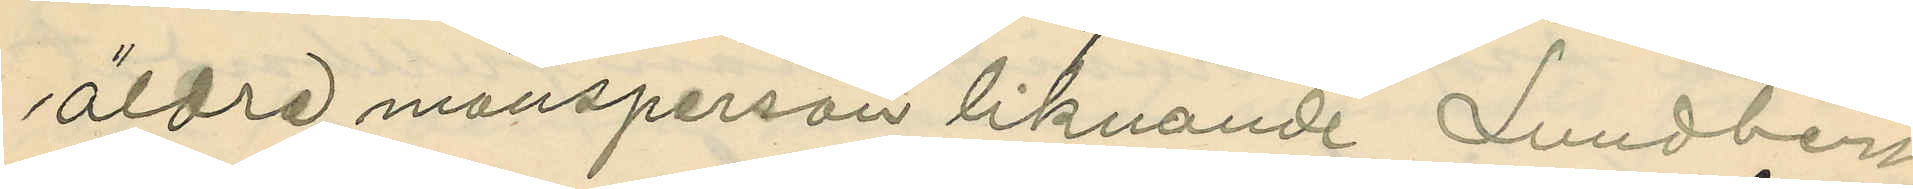äldre mansperson liknande Lundberg
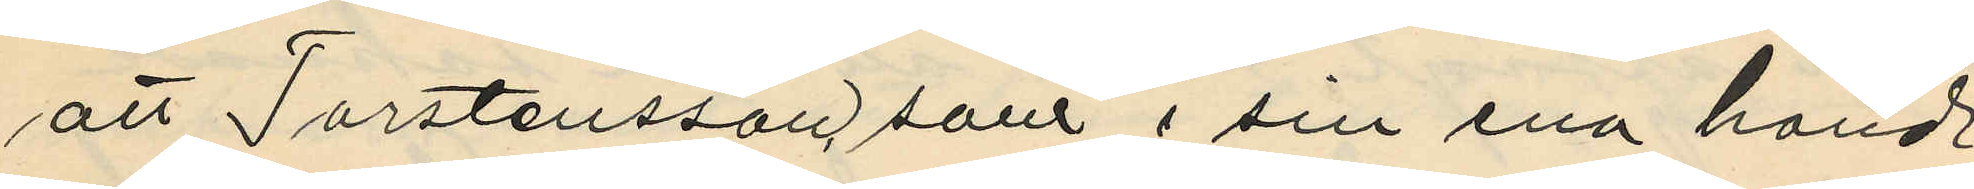att Torstensson, som i sin ena hand
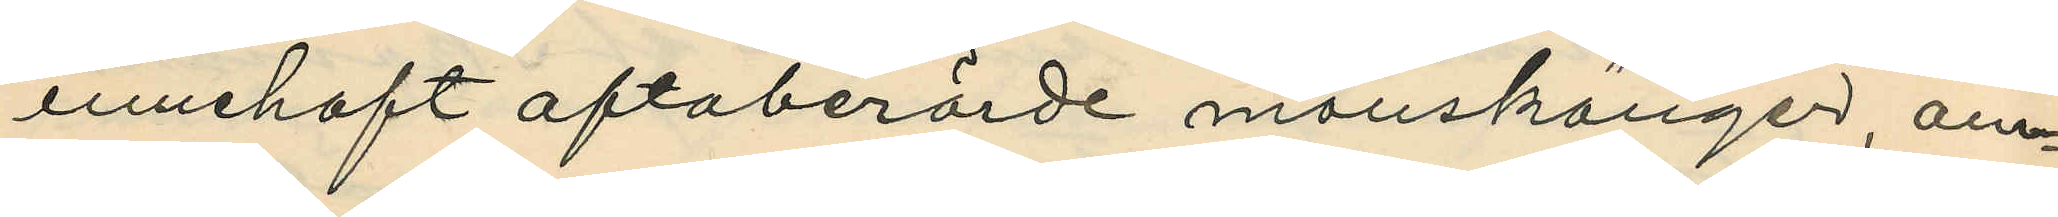innehaft oftaberörde manskänger, om¬
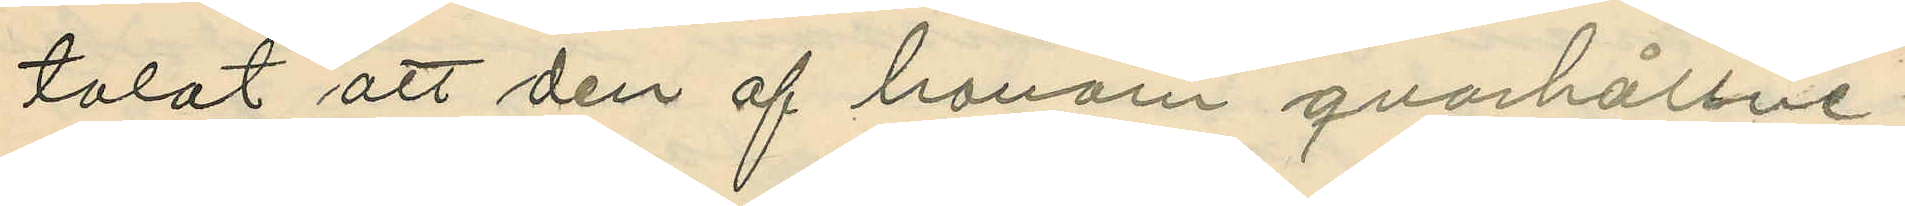talat att den af honom qvarhållne
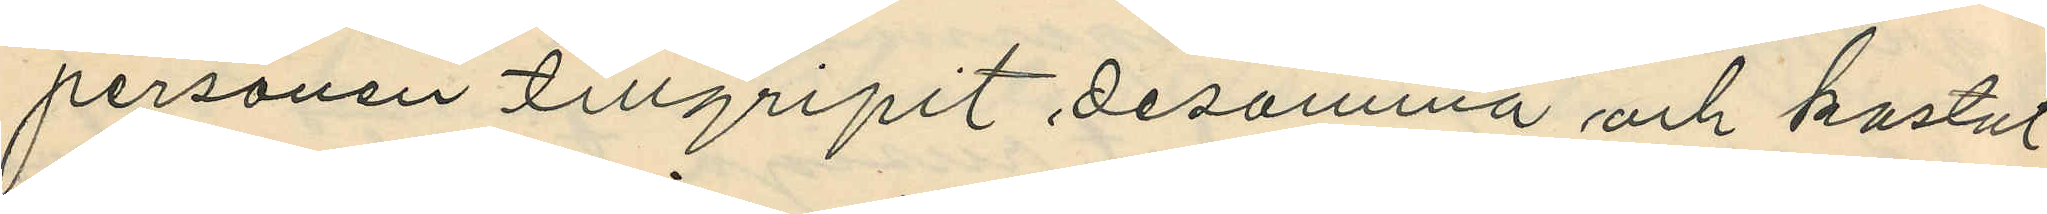personen tillgripit desamma och kastat
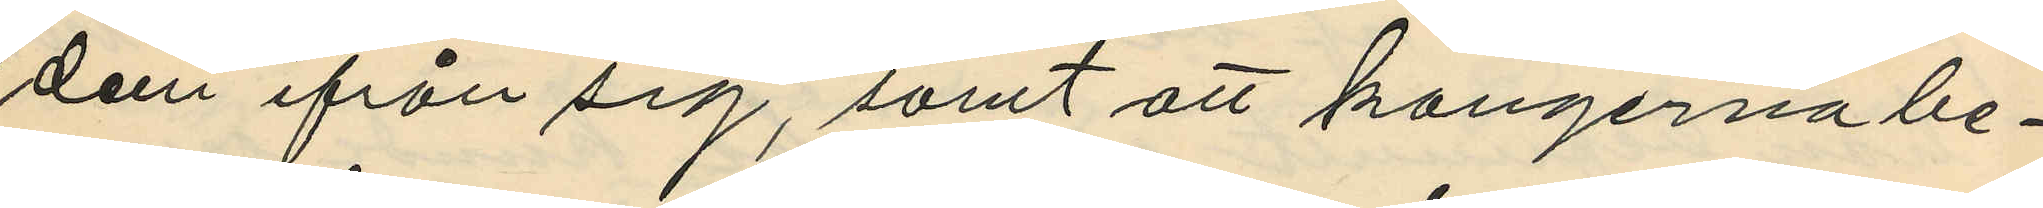dem ifrån sig, samt att kangerna be¬
